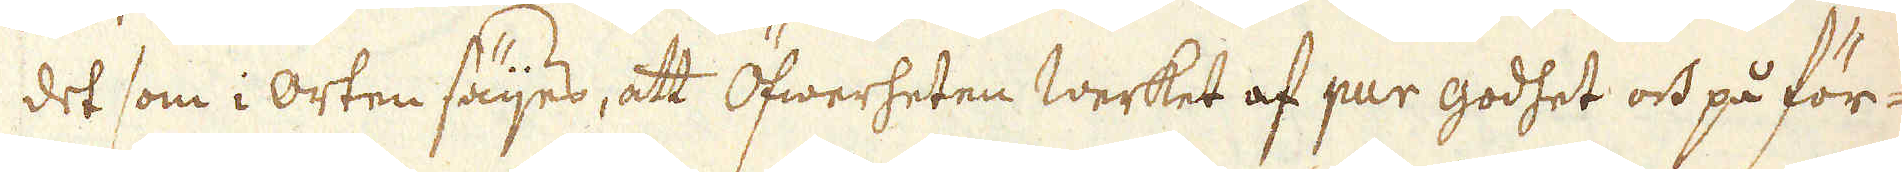det som i orten säijes, att Öfwerheten werket af pur godhet och på för-
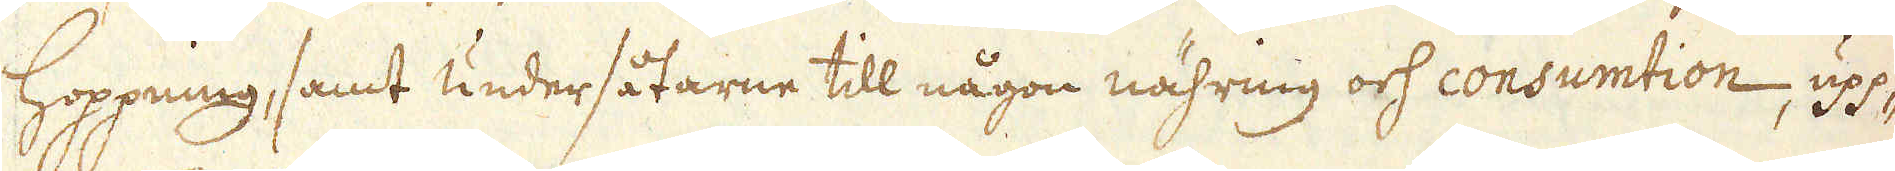Hoppning, samt undersåtarne till någon nähring och consumtion, upp-
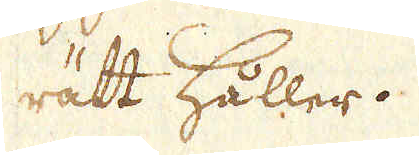rätt håller.
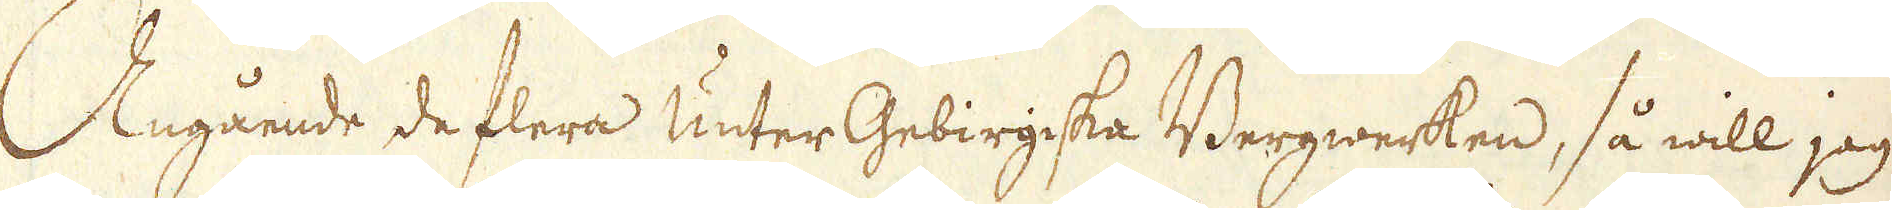Angående de flera Unter Gebirgska Bergwerken, så will jag
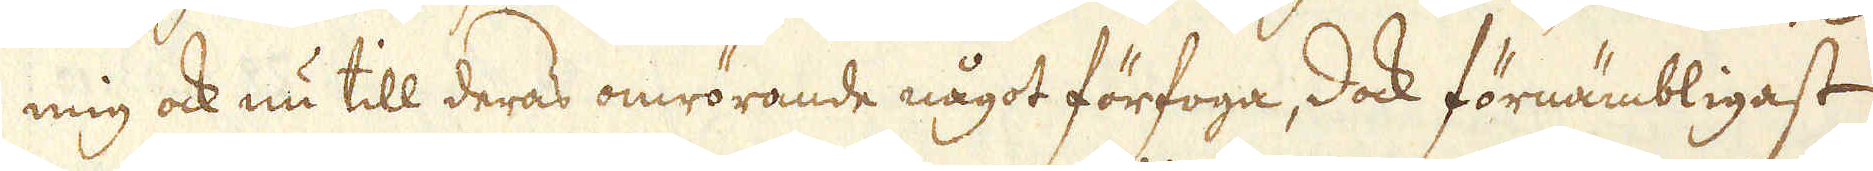mig ock nu till deras omrörande något förfoga, dock förnämbligast
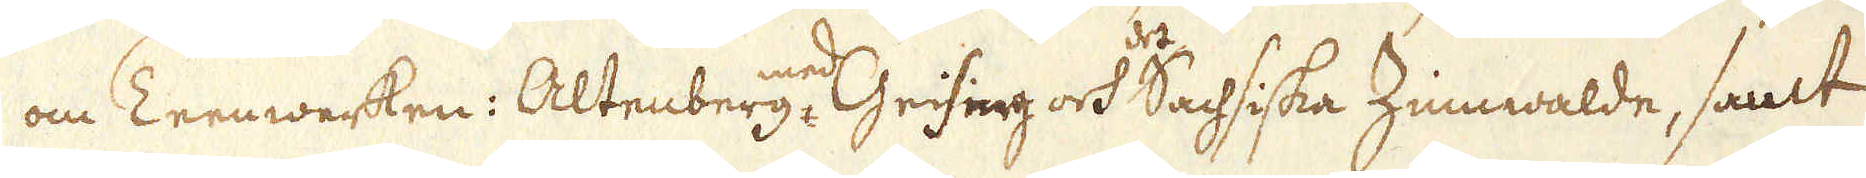om Teenwerken: Altenberg, med Geising och Sachsiska Zinmwalde, samt
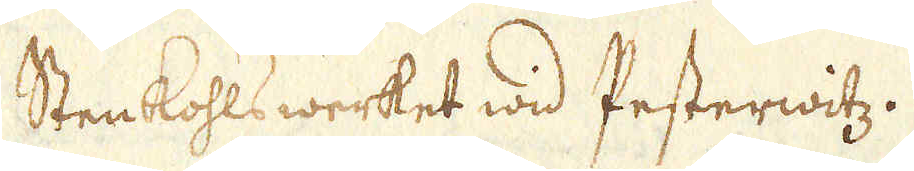Sten kohls werket wid Pesterwitz.
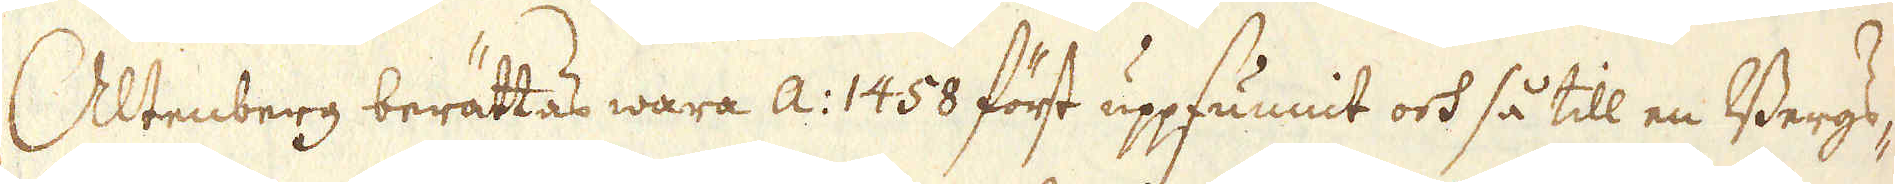Altenberg berättas wara a: 1458 först uppfunnit och så till en Bergs-
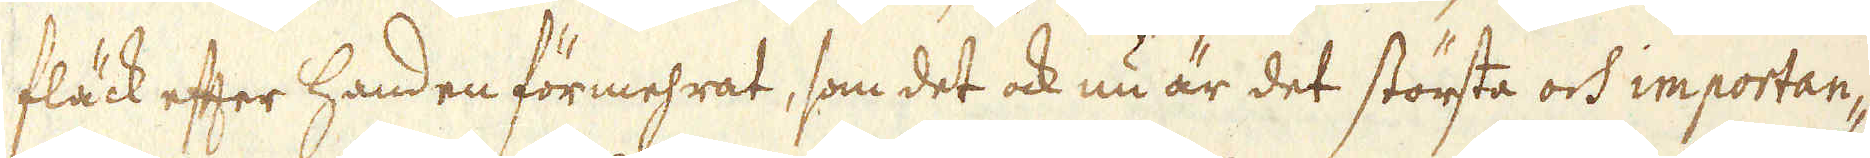fläck efter handen förmehrat, som det ock nu är det största och importan-
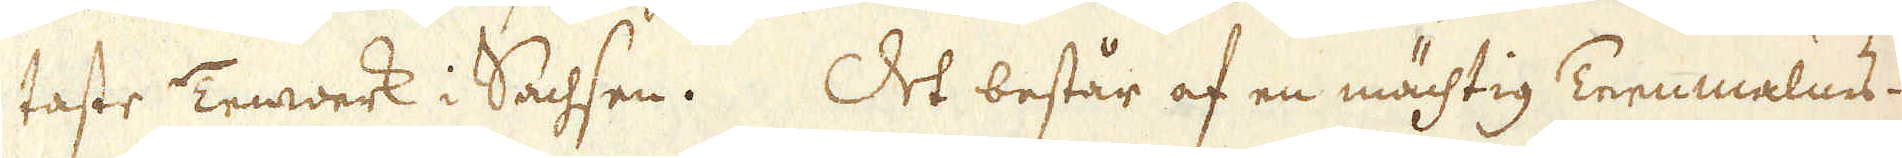taste Tenwerk i Sachsen. Det består af en mächtig Teenmalms-
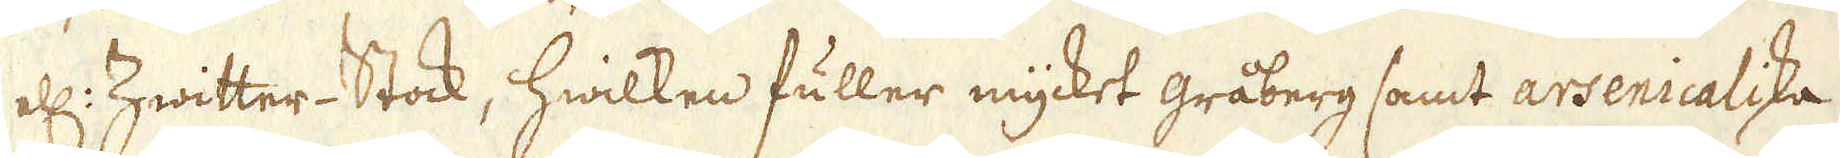ell: Zwitter- Stock, hwilken fuller mycket gråberg samt arsenicaliska
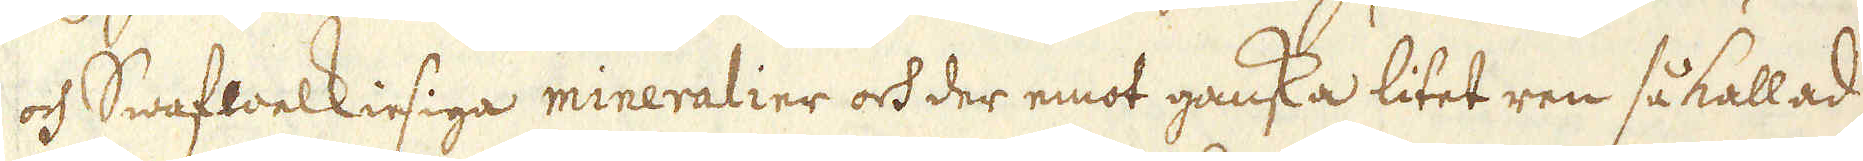och Swafwelkiesiga mineralier och der emot ganska litet ren så kallad
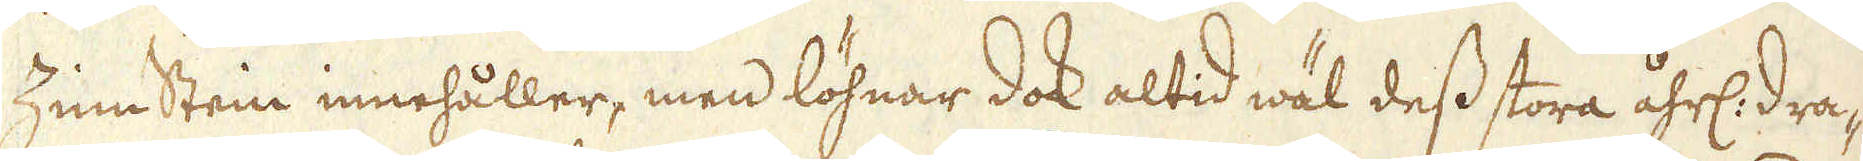Zinnstein innehåller, men löhnar dock altid wäl dess stora åhrl: dra-
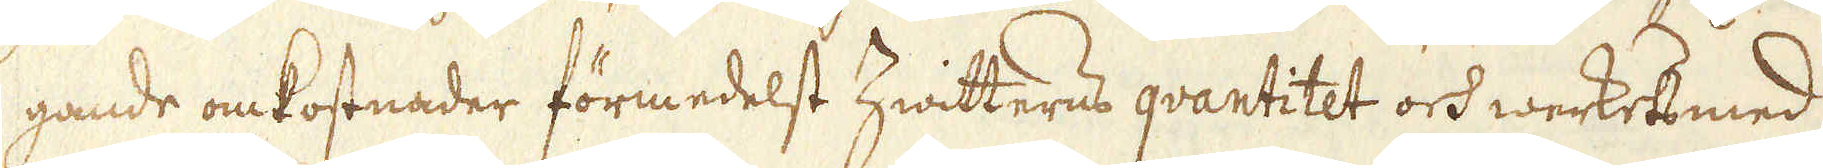gande omkostnader förmedelst hwitterns qvantitet och werkets med
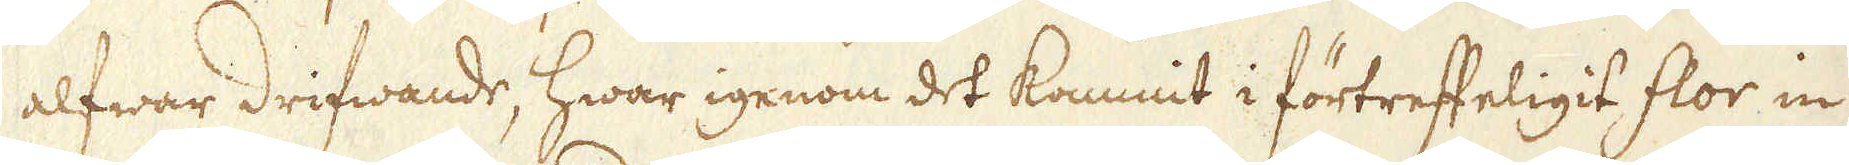alfwar drifwande, hwar igenom det kommit i förtreffeligit flor in
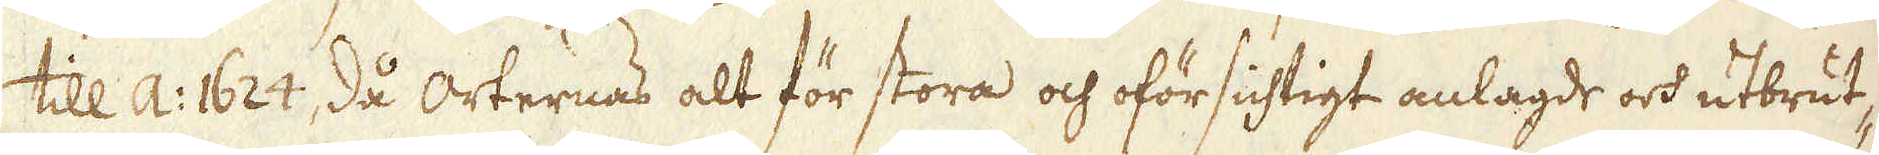till a: 1624, då orternas alt för stora och oförsichtigt anlagde och utbrut-
